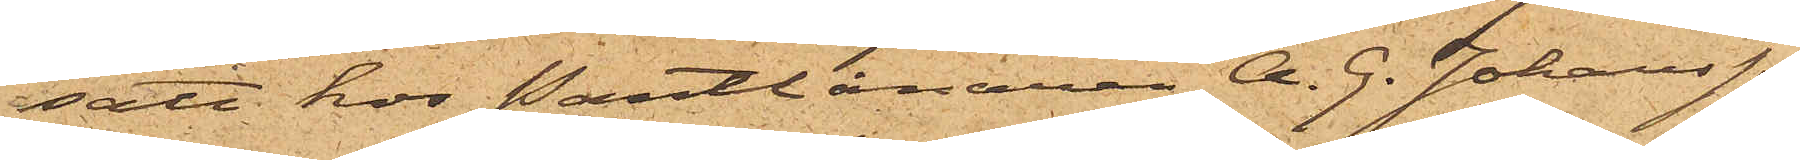satt hos Pantlånaren A. G. Johansson
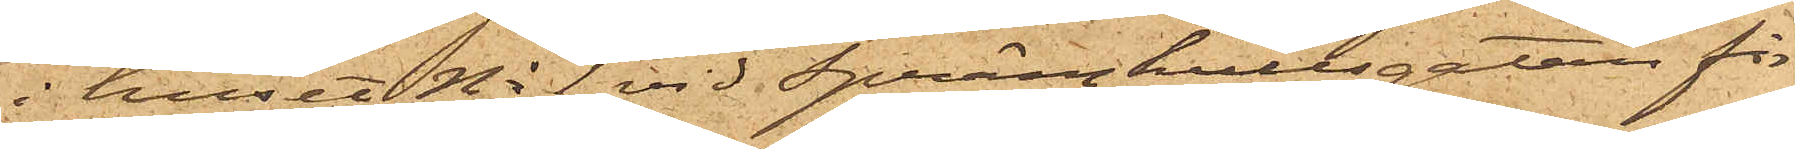i huset No 1 vid Sprängkullsgatan för
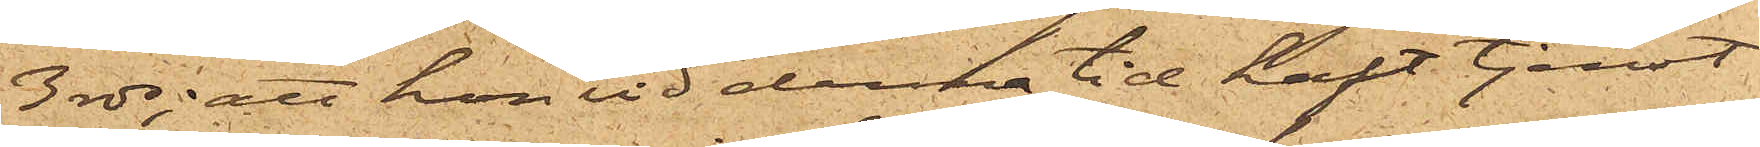3 rdr; att hon vid denna tid haft tjenst
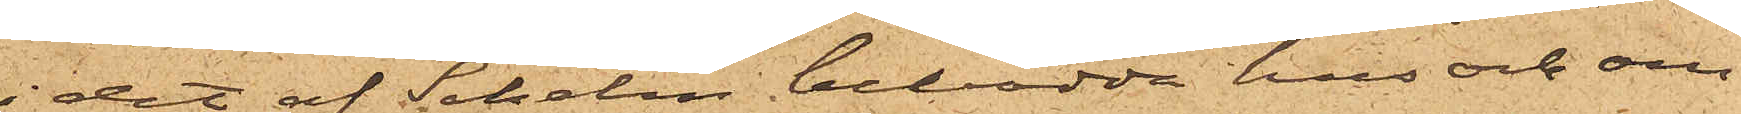i det af Schelin bebodda hus och om¬
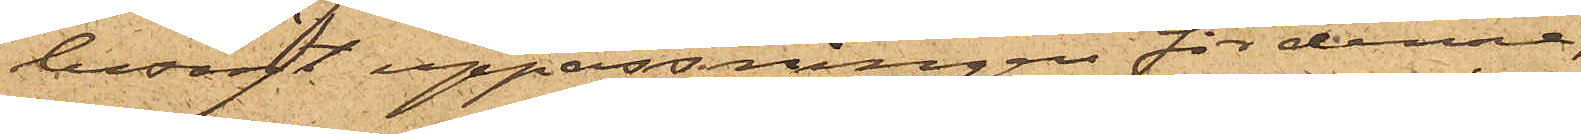besörjt uppassningen för denne,
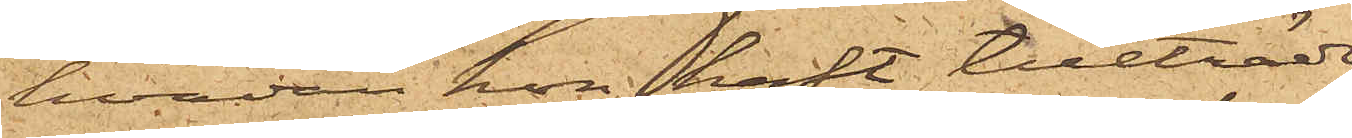hvadan hon haft tillträde
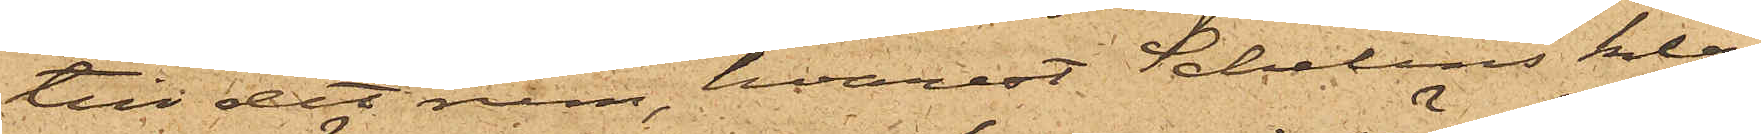till det rum, hvarest Schelins klä¬
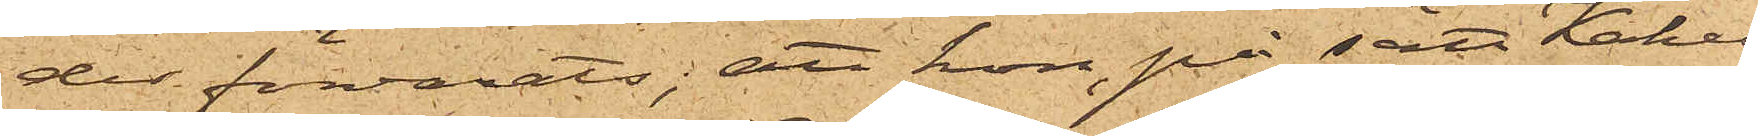des förvarats; att hon på sätt Kakel¬
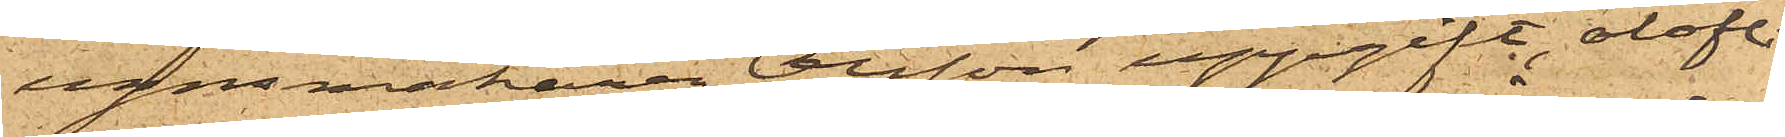ugnsmakaren Olsson uppgift, olofli¬
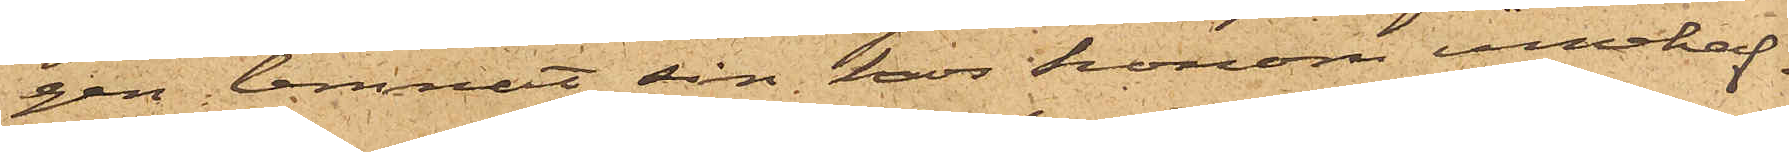gen lemnat sin hos honom innehaf¬
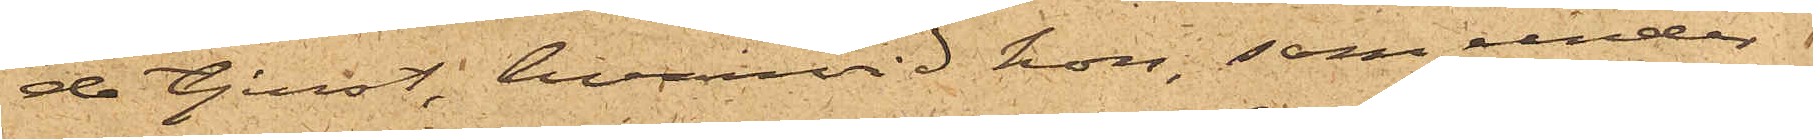de tjenst, hvarvid hon, som under
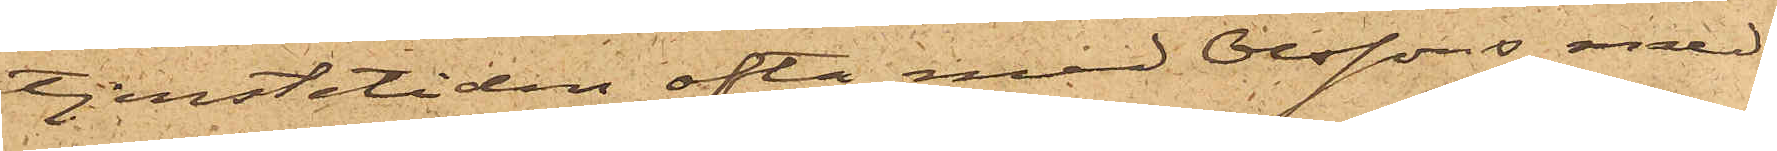tjenstetiden ofta med Olssons med¬
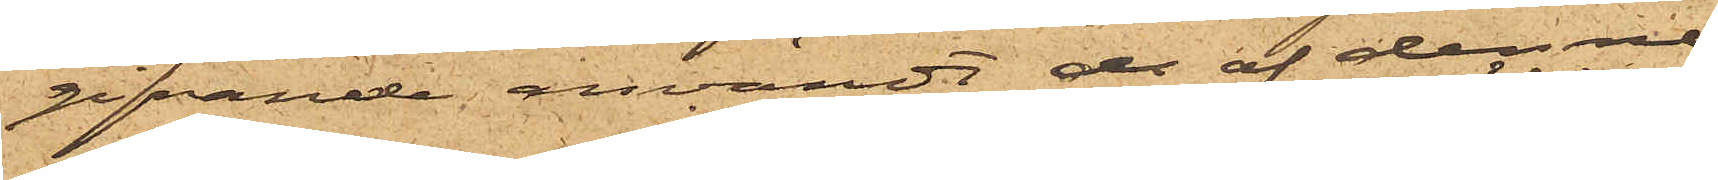gifvande användt de af denne
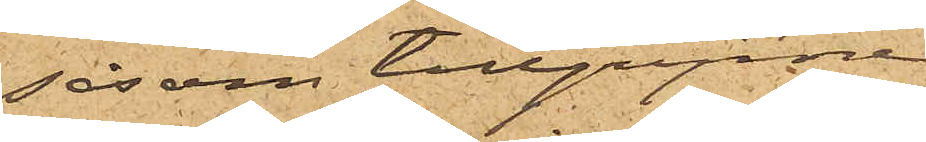såsom tillgripne
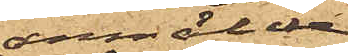anmälde
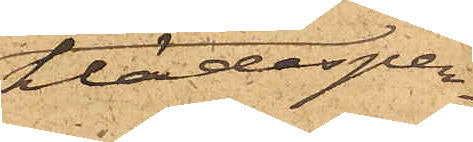klädesper¬
